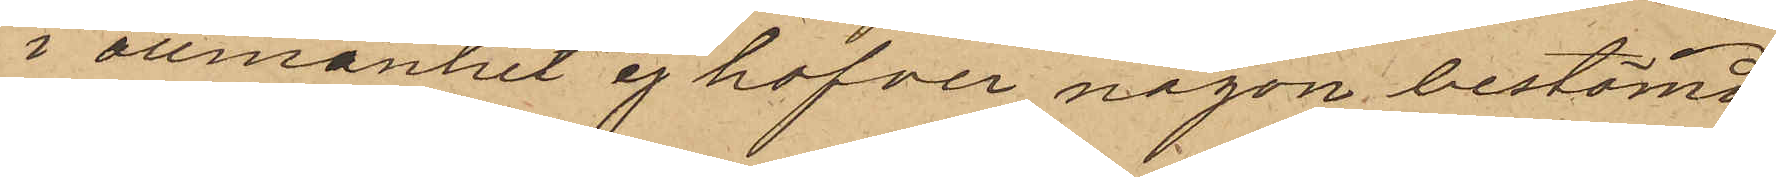i allmänhet ej hafver någon bestämd
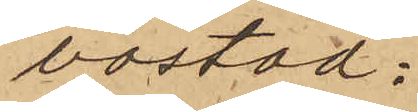bostad:
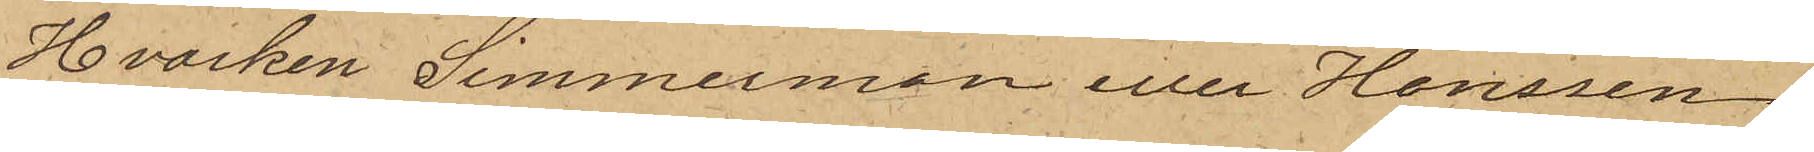Hvarken Simmermon eller Hanssen
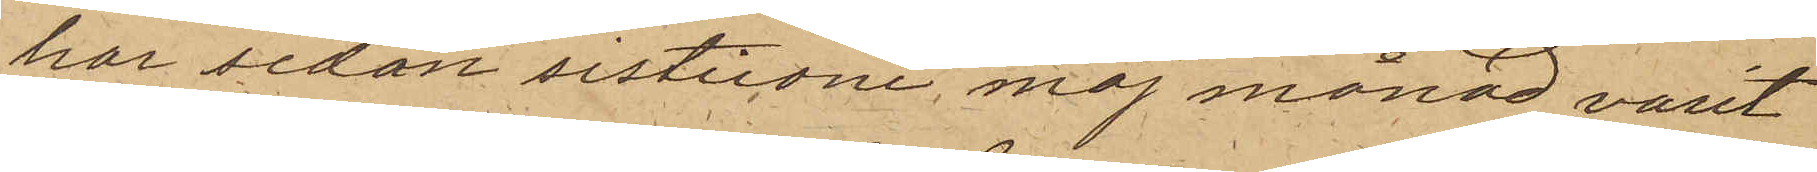har sedan sistlidne maj månad varit
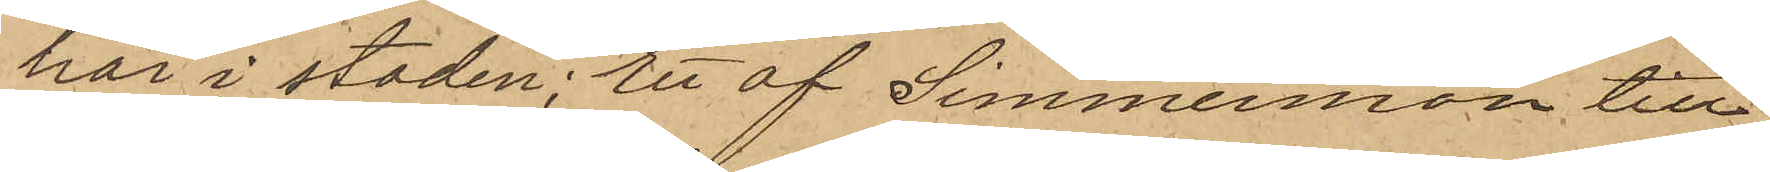här i staden; Ett af Simmermon till
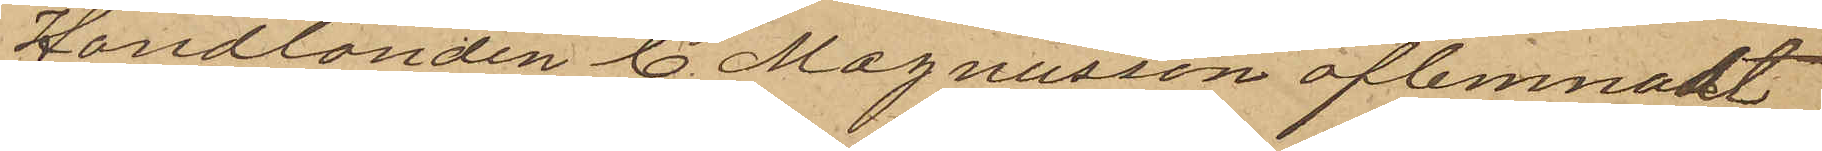Handlanden C. Magnusson aflemnadt
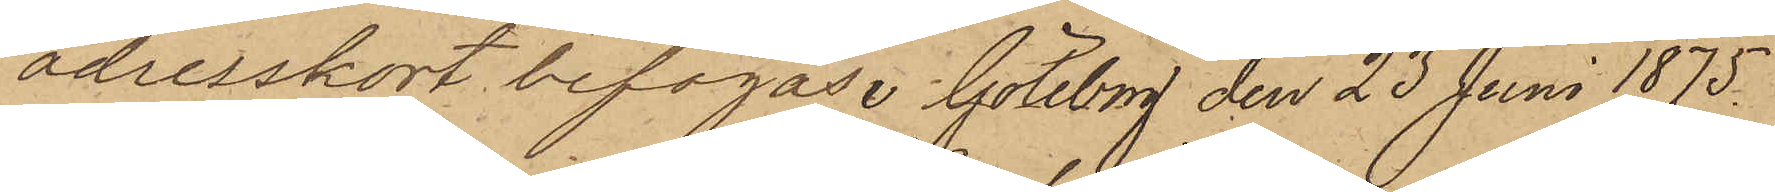adresskort bifogas. Göteborg den 23 Juni 1875.
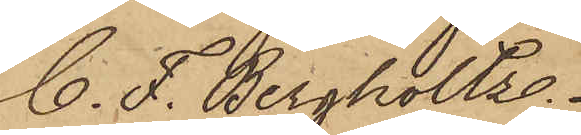C. F. Bergholtz.
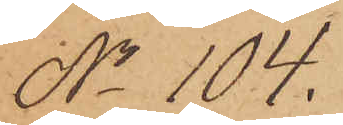No 104.
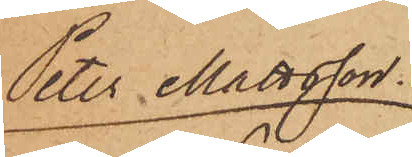Peter Mattsson.
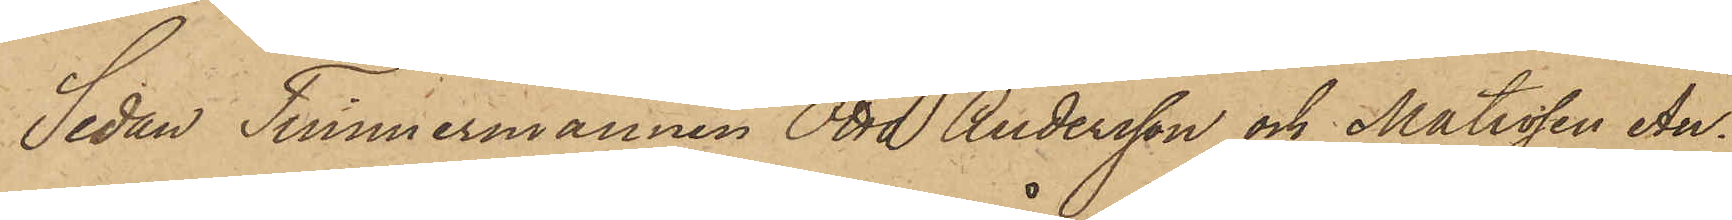Sedan Timmermannen Otto Andersson och Matrosen An¬
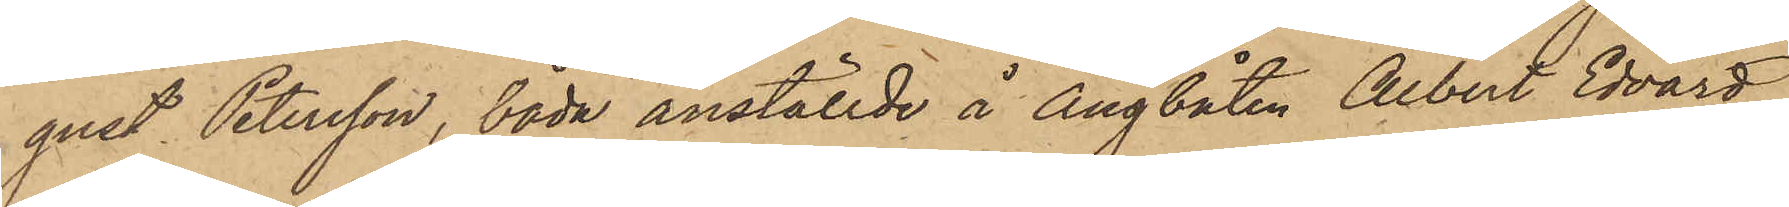gust Petersson, båda anställde å Ångbåten Albert Edvard,
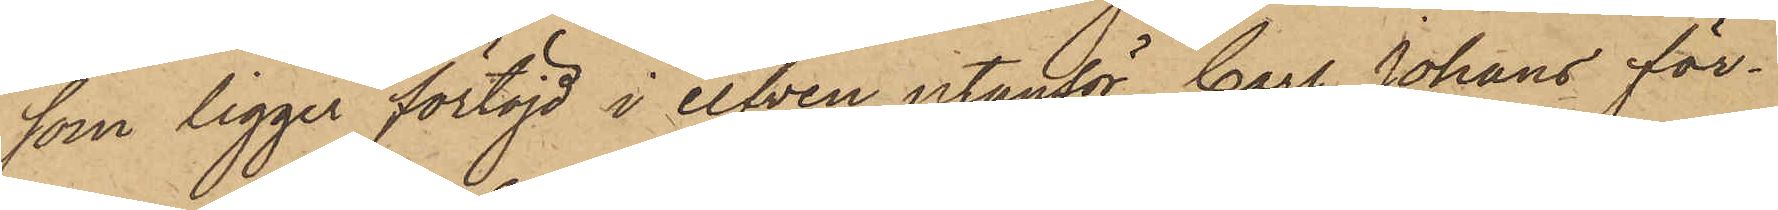som ligger förtöjd i elfven utanför Carl Johans för¬
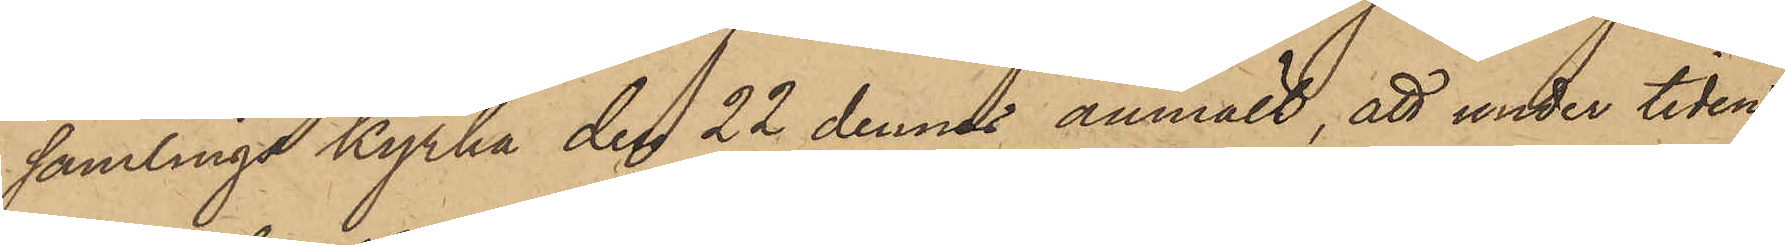samlings kyrka den 22 dennes anmält, att under tiden
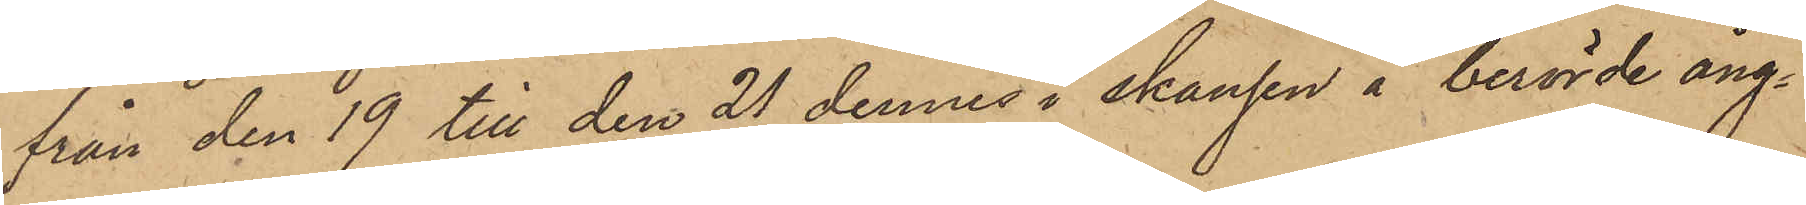från den 19 till den 21 dennes i skansen å berörde ång¬
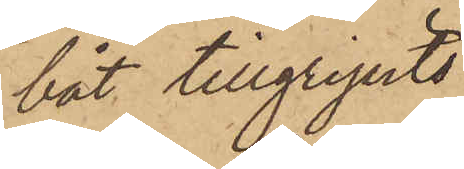båt tillgripits
